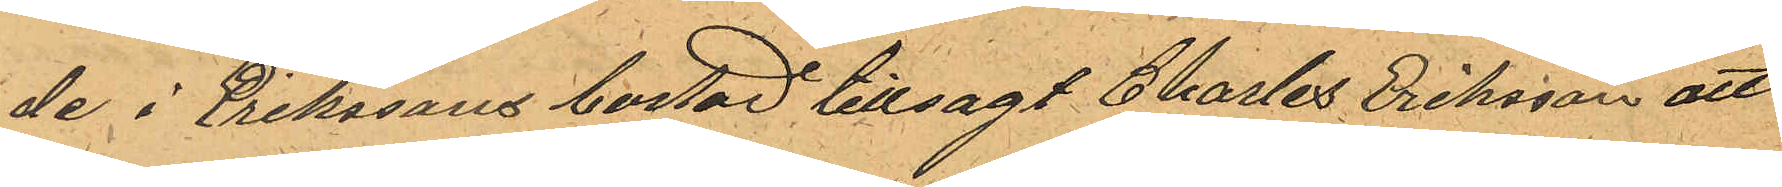de i Erikssons bostad tillsagt Charles Eriksson att
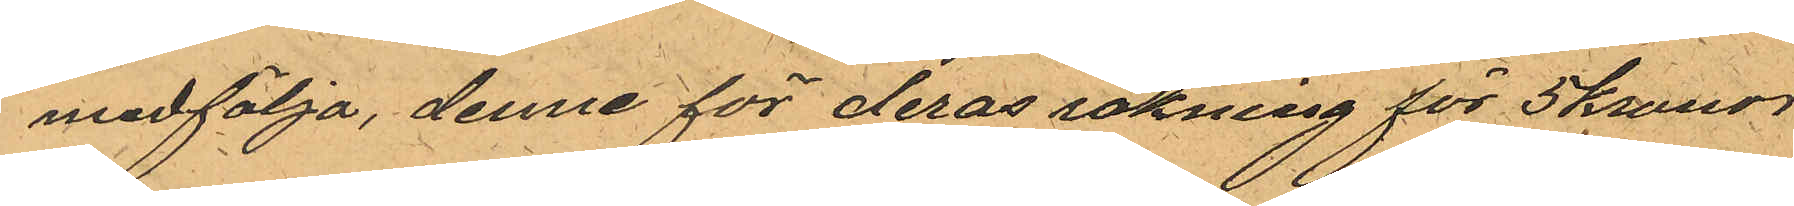medfölja, denne för deras räkning för 5 kronor,
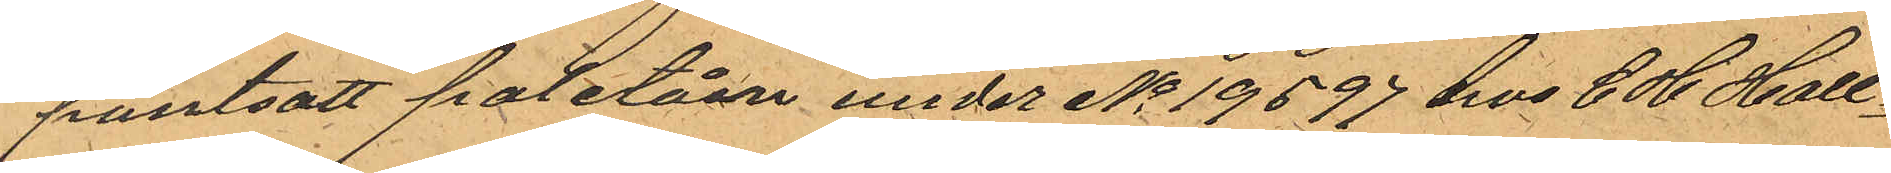pantsatt paletån under No 19597 hos C H Hall¬
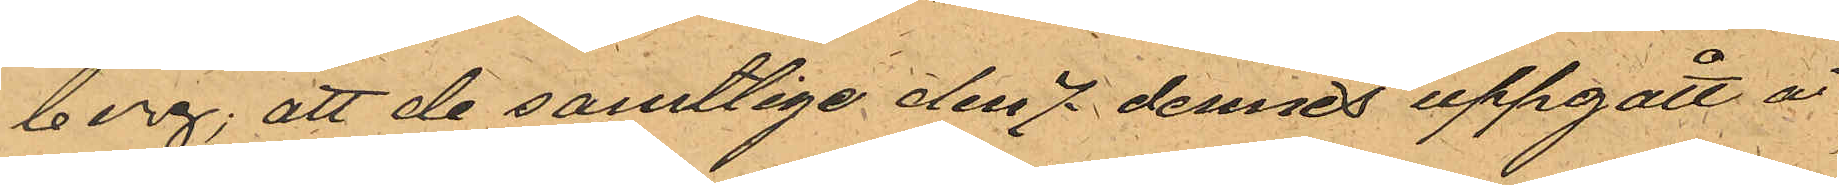berg; att de samtlige den 7 dennes uppgått å
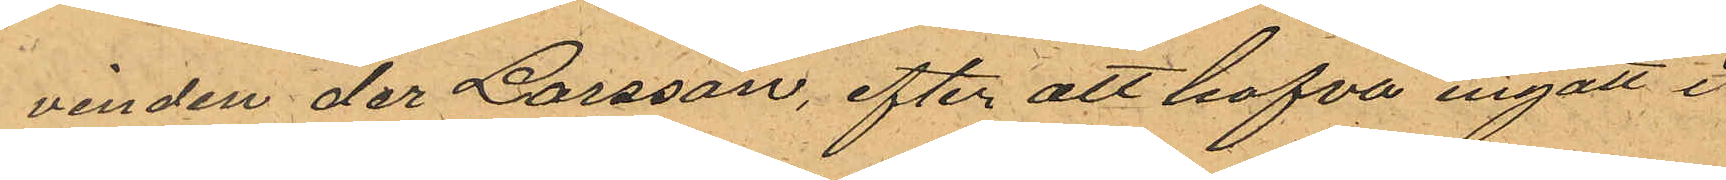vinden der Larsson, efter att hafva ingått i
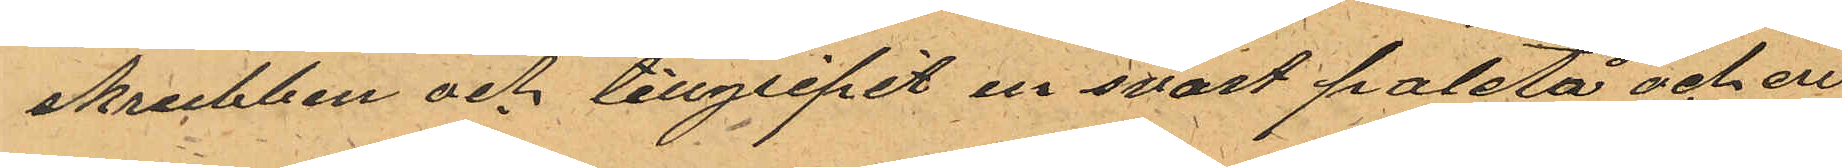skrubben och tillgripit en svart paletå och en
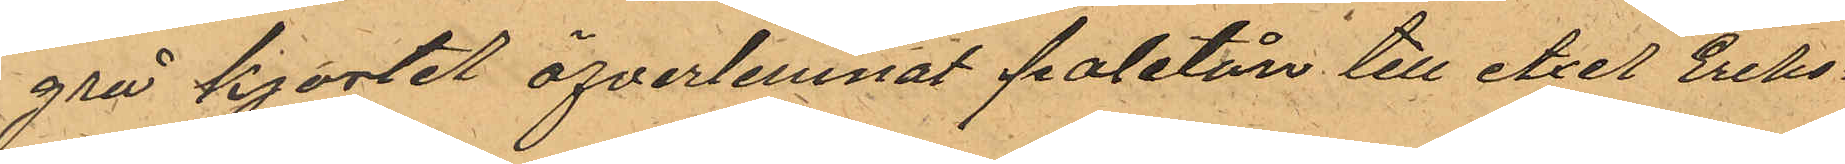grå kjortel öfverlemnat paletån till Axel Eriks¬
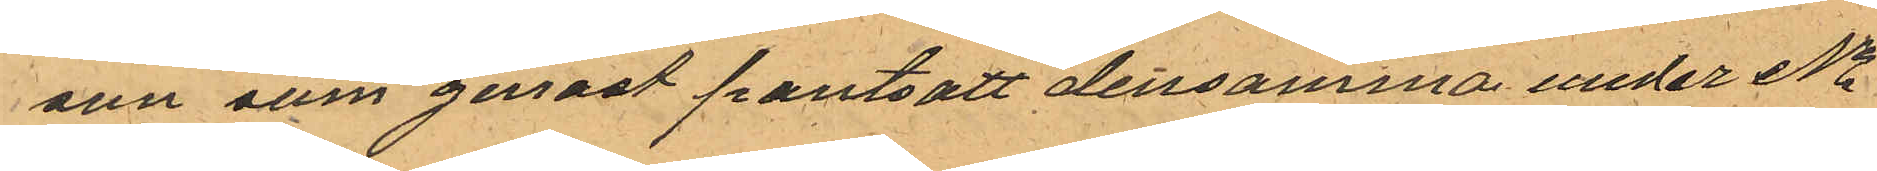son som genast pantsatt densamma under No
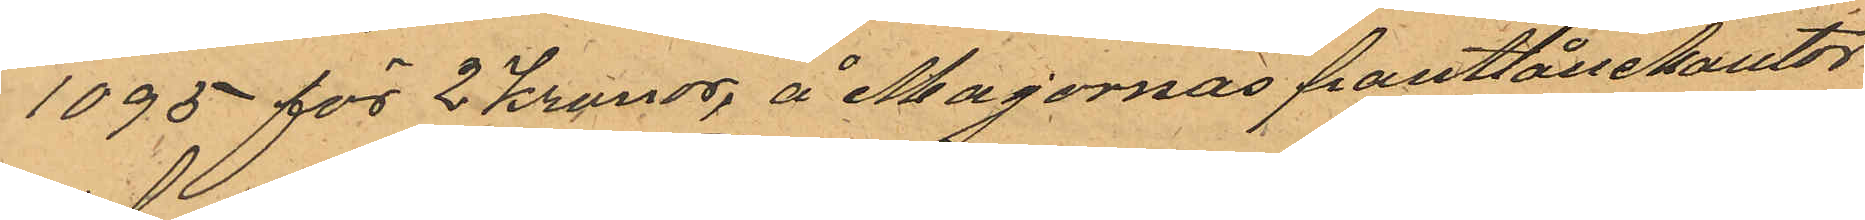1095 för 2 Kronor, å Majornas pantlånekontor
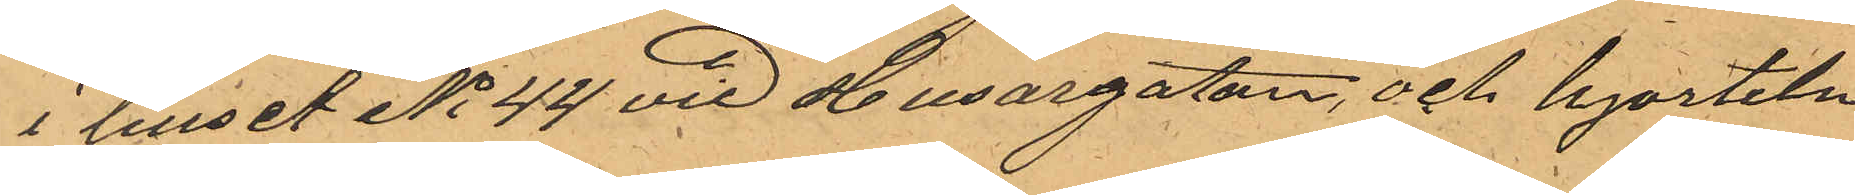i huset No 44 vid Husargatan, och kjorteln
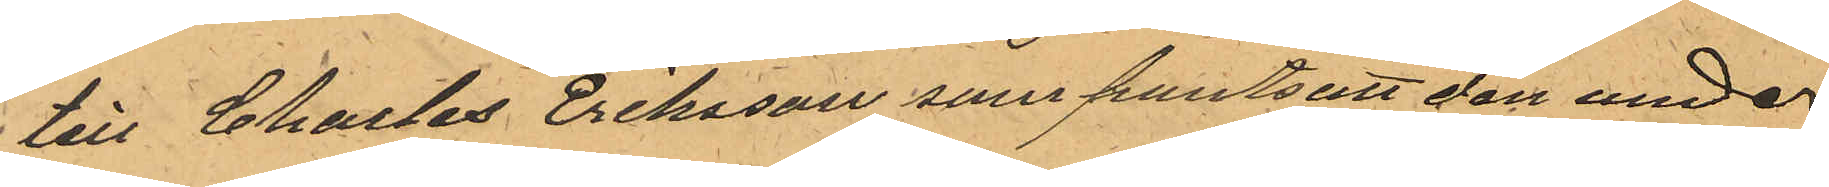till Charles Eriksson som pantsatt den under
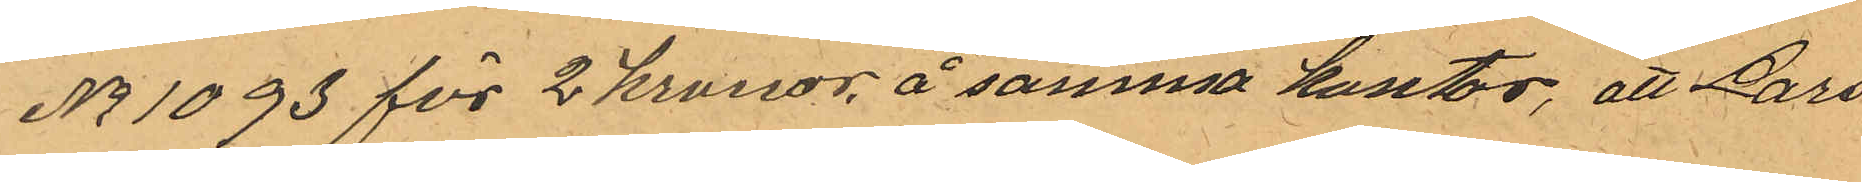No 1093 för 2 kronor å samma kontor, att Lars¬
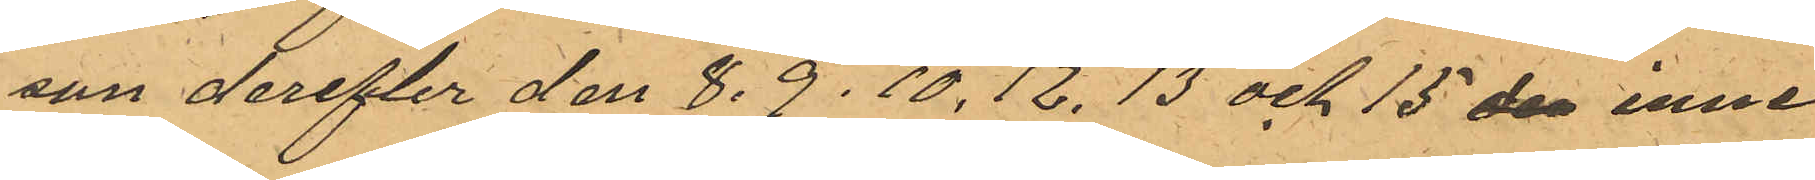son derefter den 8. 9. 10,12.13 och 15 de inne¬
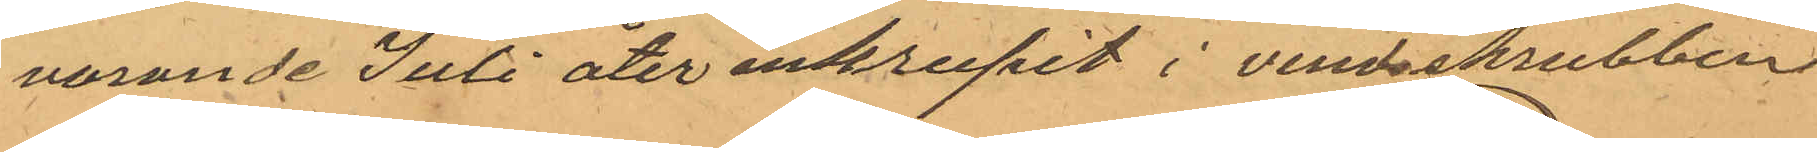varande Juli åter inkrupit i vindsskrubben
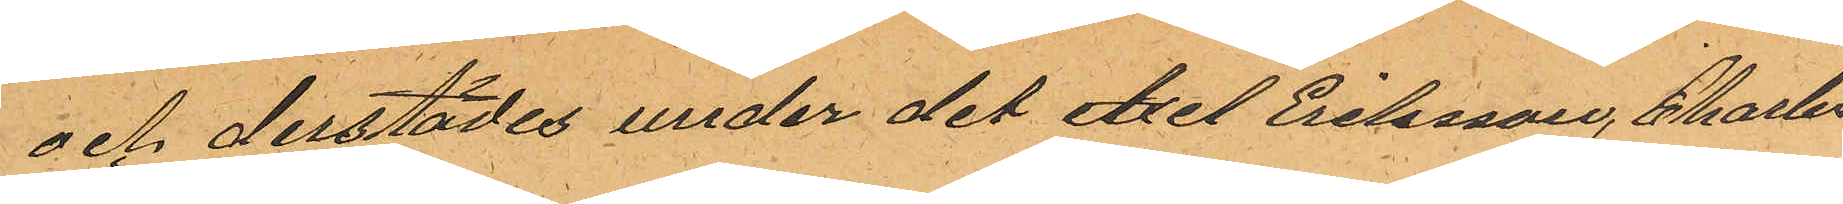och derstädes under det Axel Eriksson, Charles
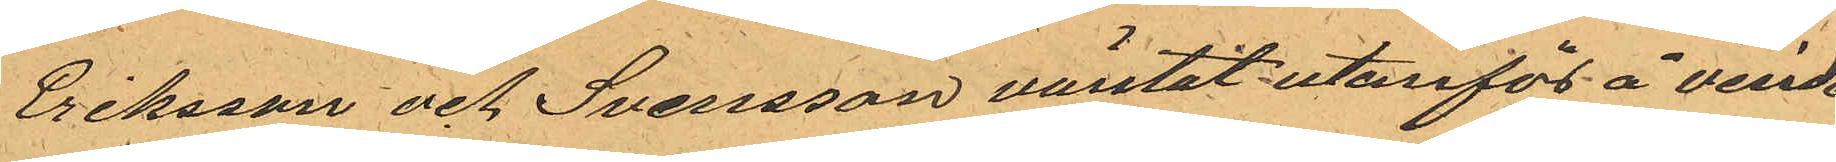Eriksson och Svensson väntat utanför å vinden
